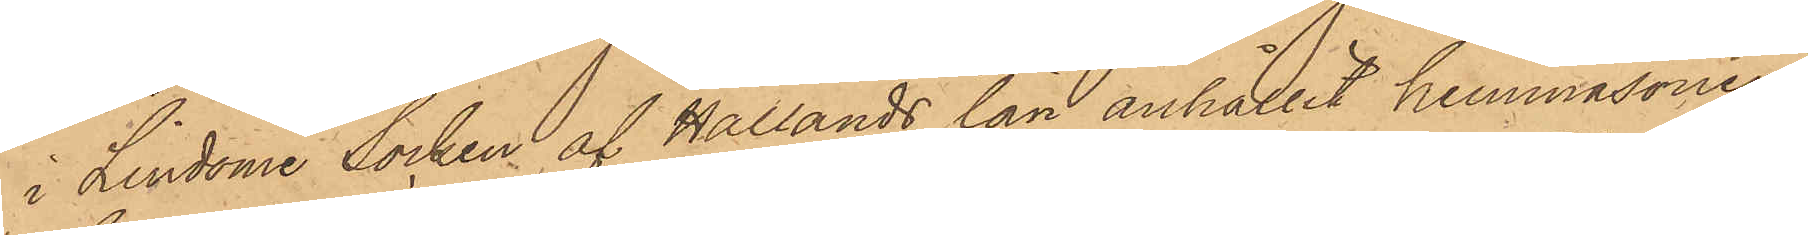i Lindome Socken af Hallands län anhållit hemmasonen
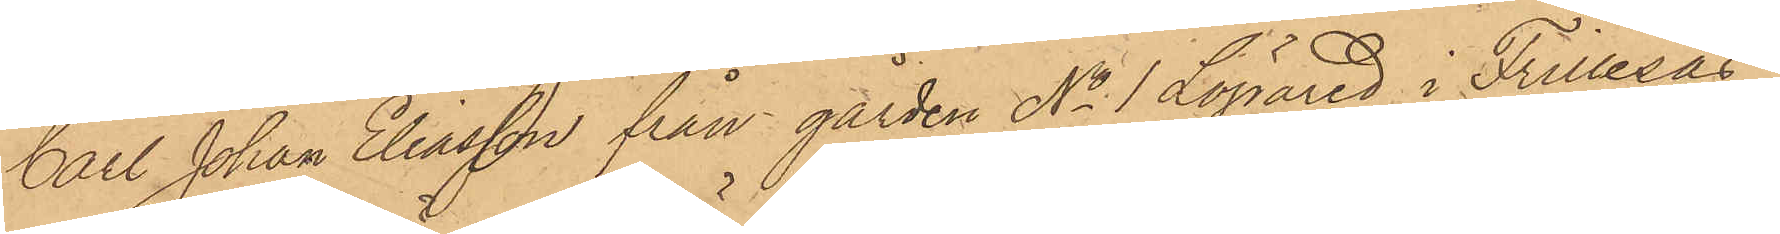Carl Johan Eliasson från gården No 1 Läpared i Frillesås
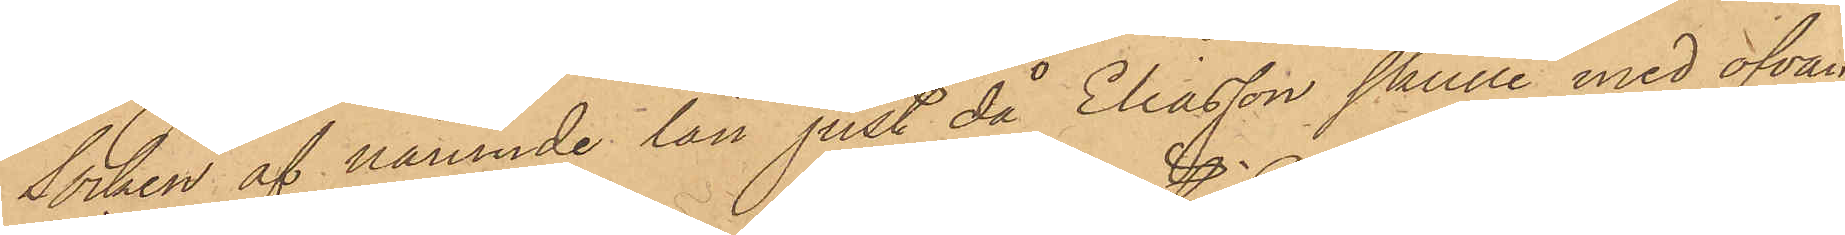Socken af nämnde län just då Eliasson skulle med ofvan¬
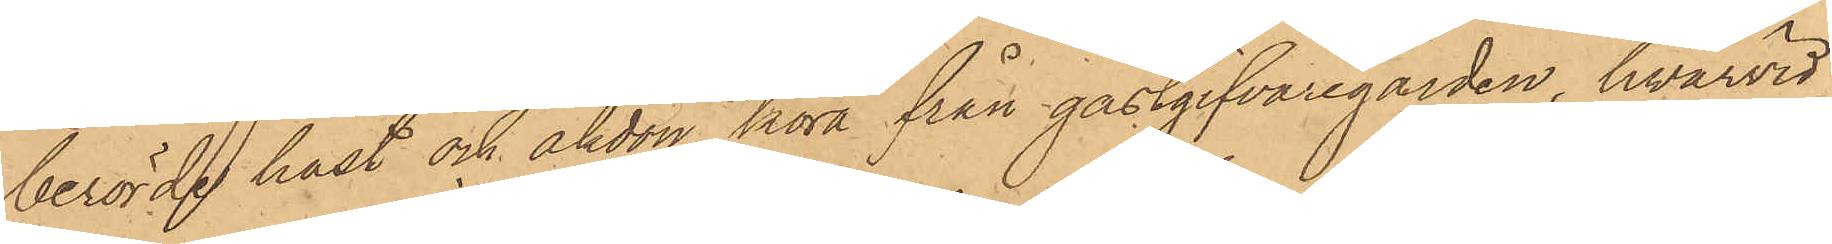berörde häst och åkdon köra från gästgifvaregården, hvarvid
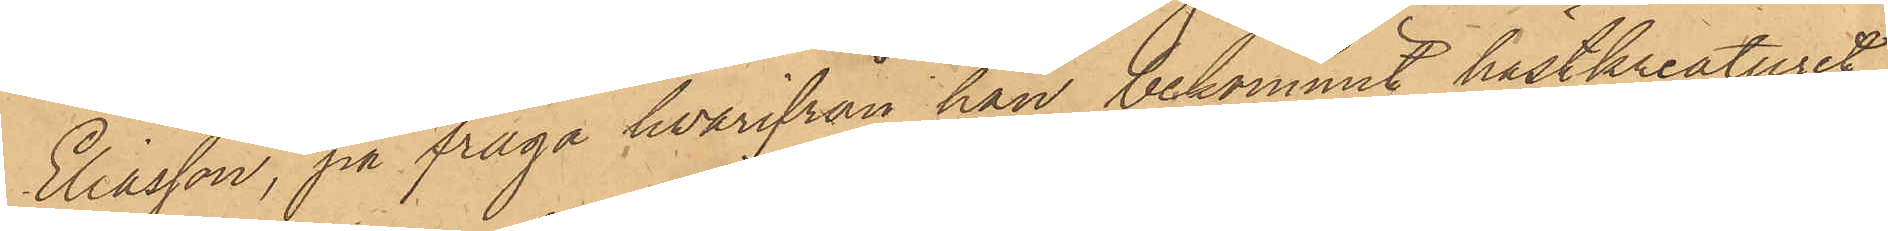Eliasson, på fråga hvarifrån han bekommit hästkreaturet,
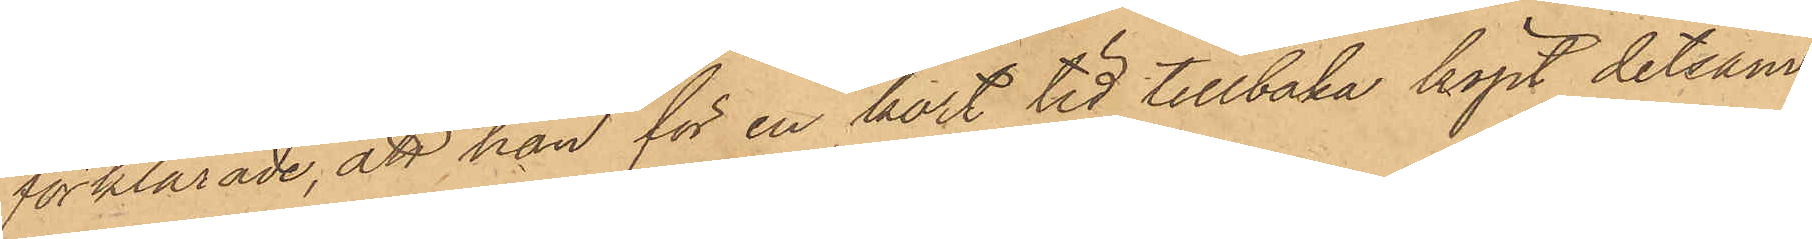förklarade, att han för en kort tid tillbaka köpt detsam¬
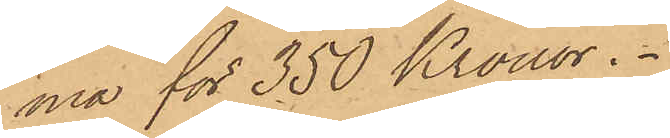ma för 350 Kronor.
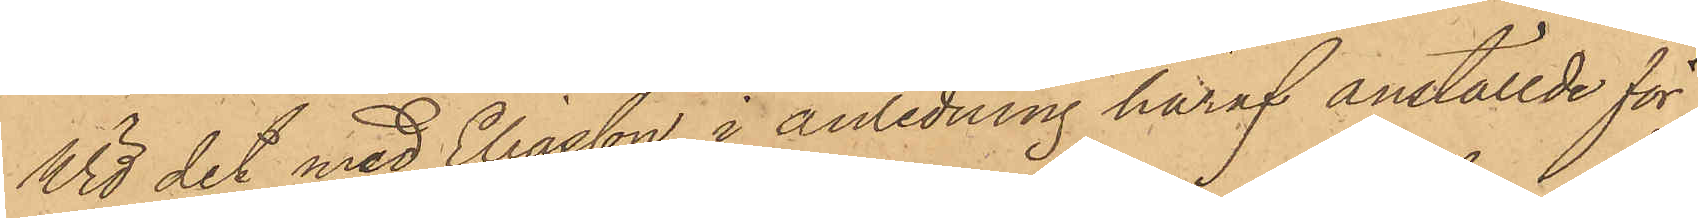Vid det med Eliasson i anledning häraf anställde för¬
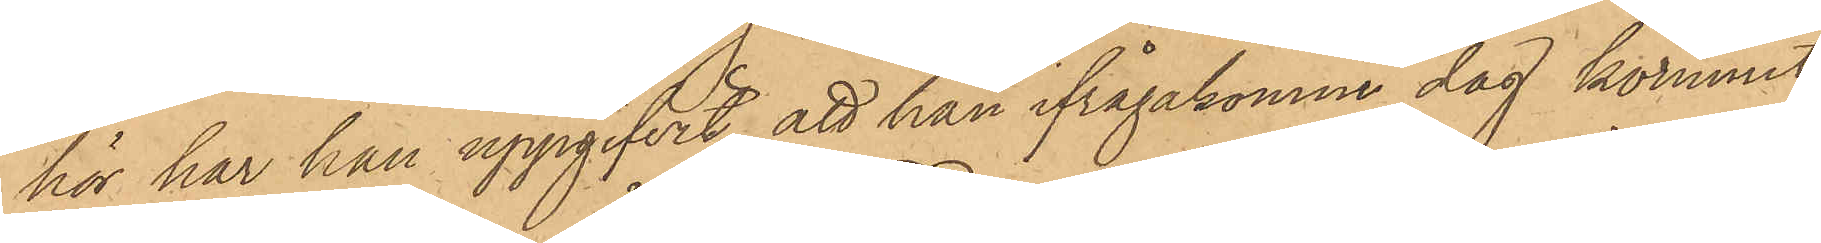hör har han uppgifvit, att han ifrågakomne dag kommit
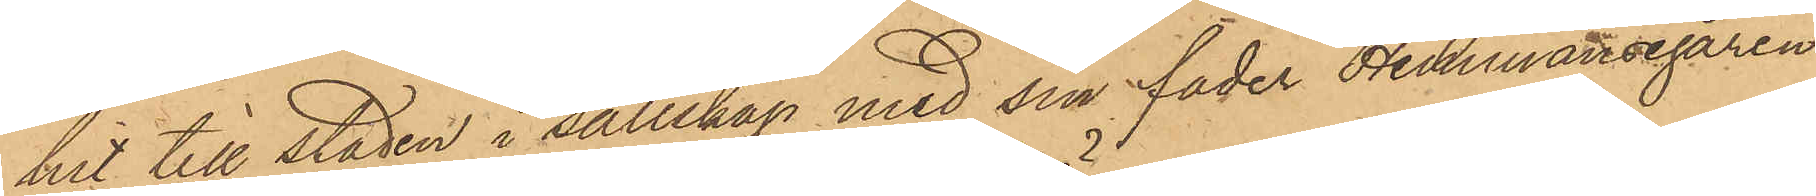hit till staden i sällskap med sin fader Hemmansegaren
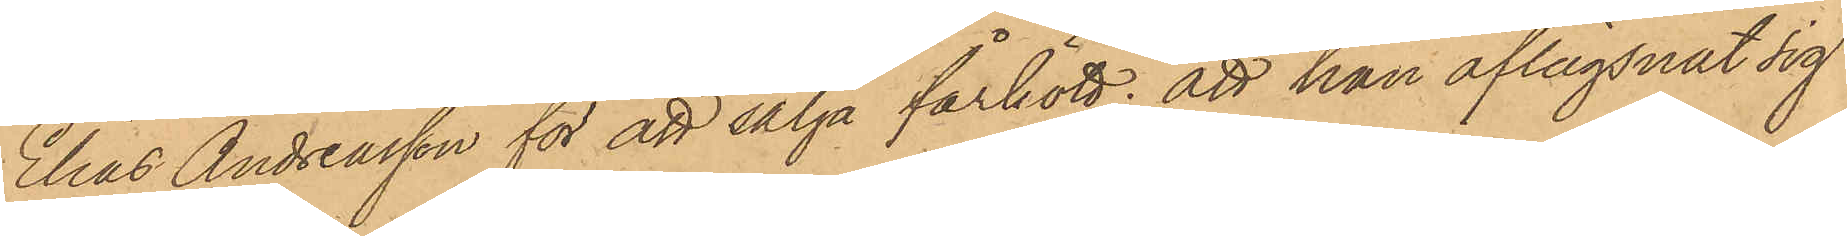Elias Andreasson för att sälja fårkött; att han aflägsnat sig
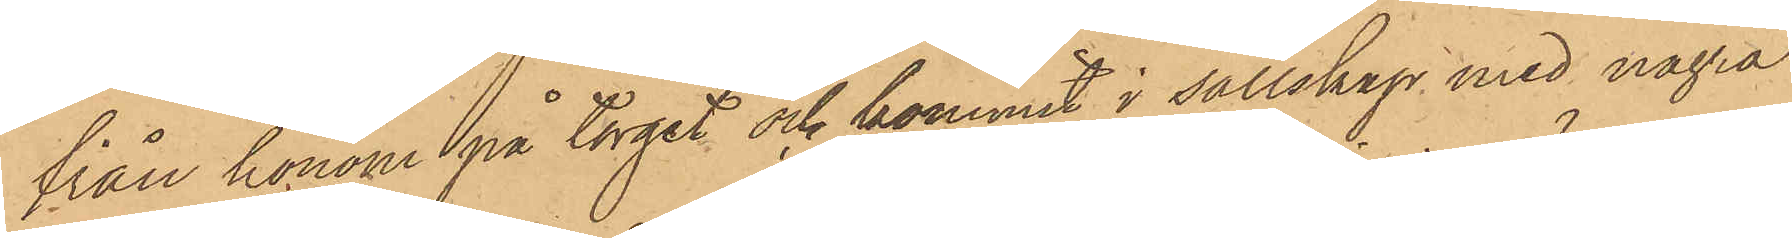från honom på torget och kommit i sällskap med några
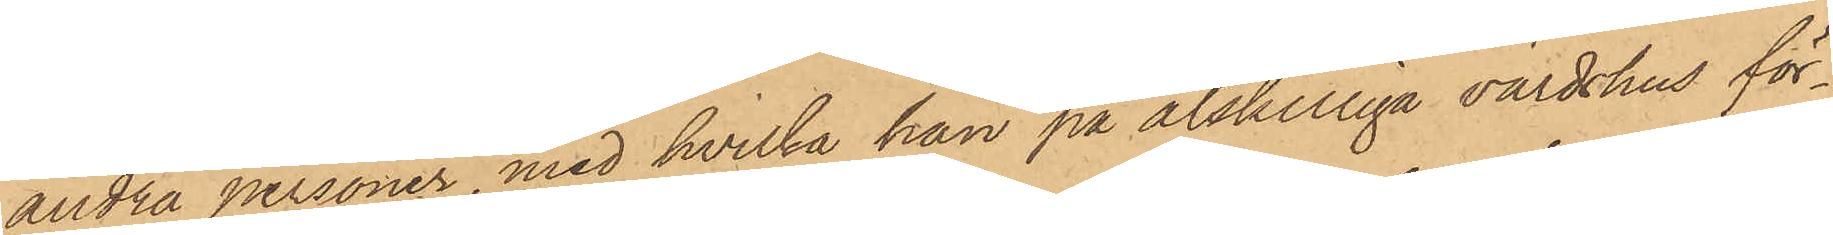andra personer, med hvilka han på åtskilliga värdshus för¬
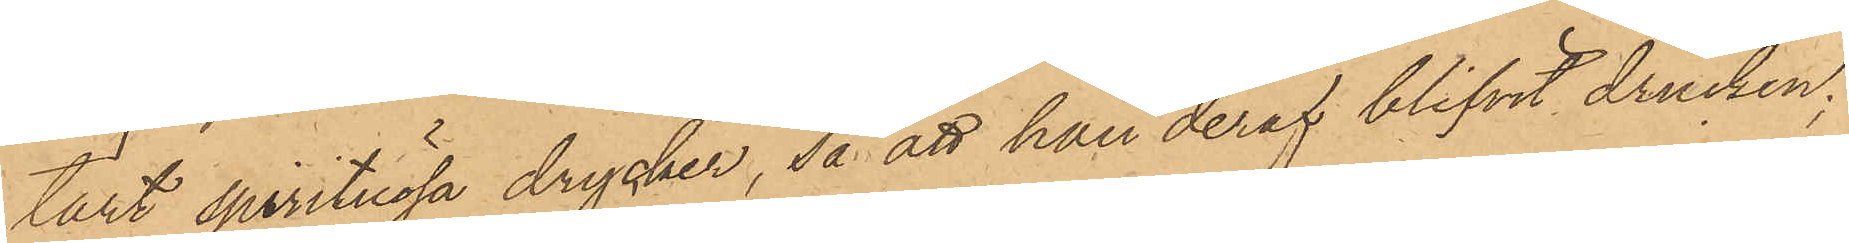tärt spirituösa drycker, så att han deraf blifvit drucken,
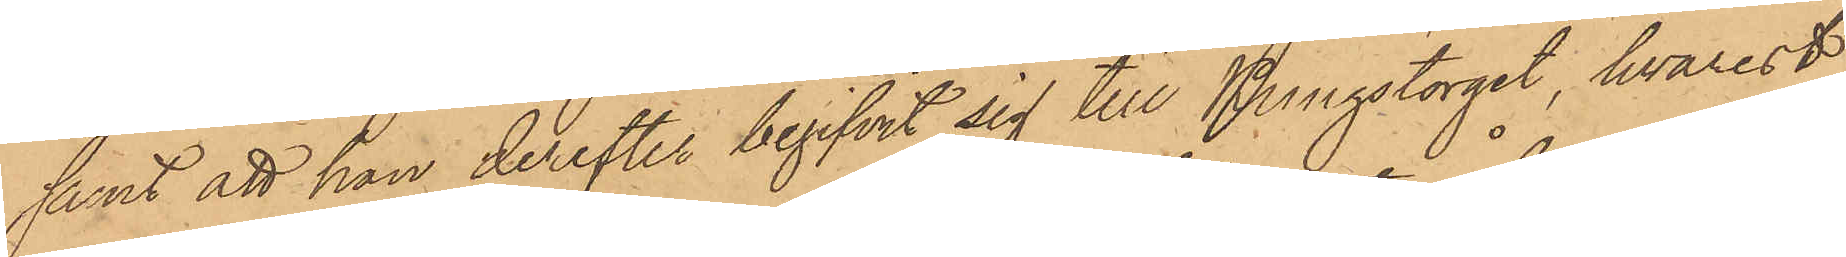samt att han derefter begifvit sig till Kungstorget, hvarest
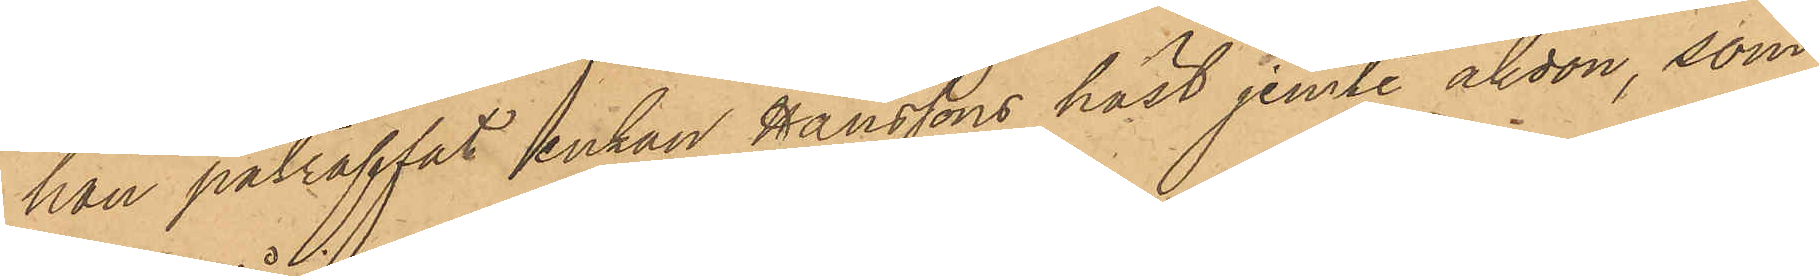han påträffat enkan Hanssons häst jemte åkdon, som
